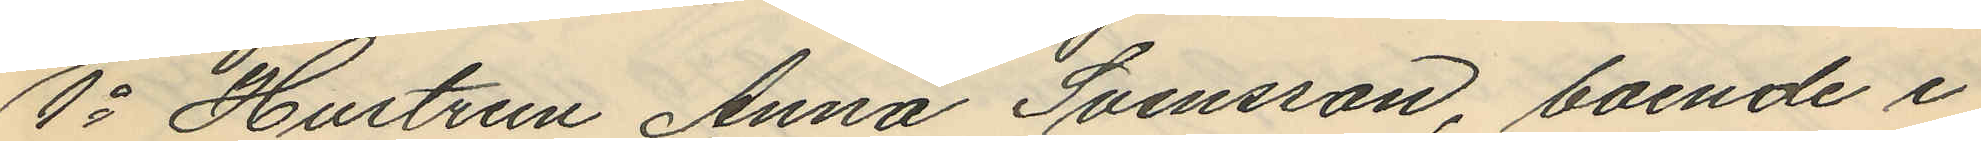1o Hustrun Anna Svensson, boende i
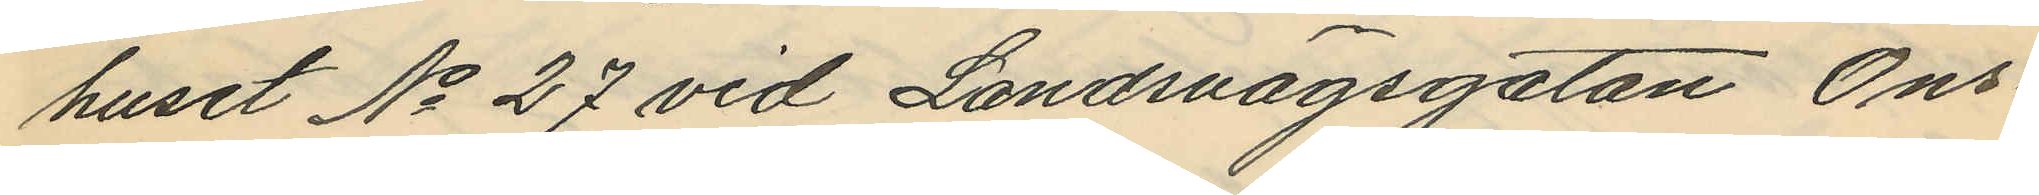huset No 27 vid Landsvägsgatan Ons¬
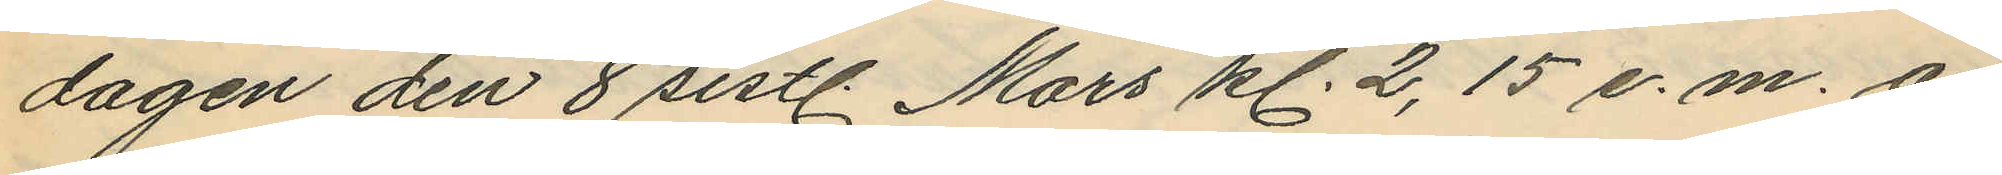dagen den 8 sistl. Mars kl. 2,15 e.m. å
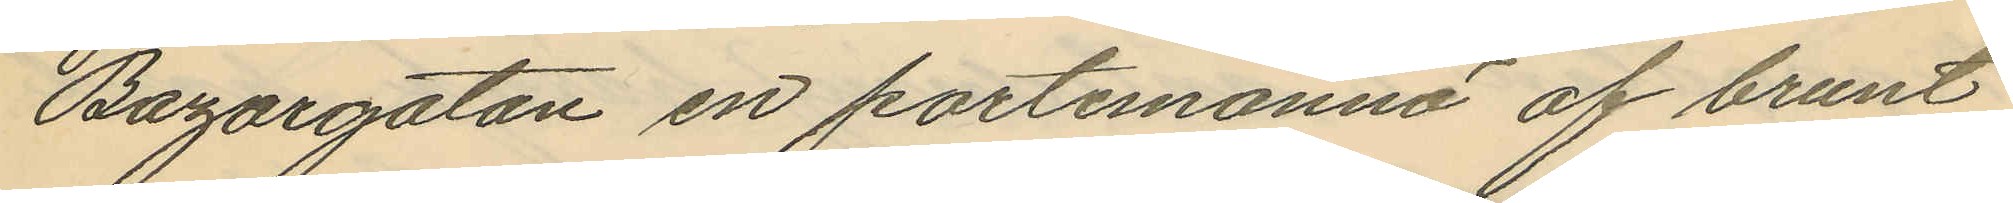Bazargatan en portemonnä af brunt
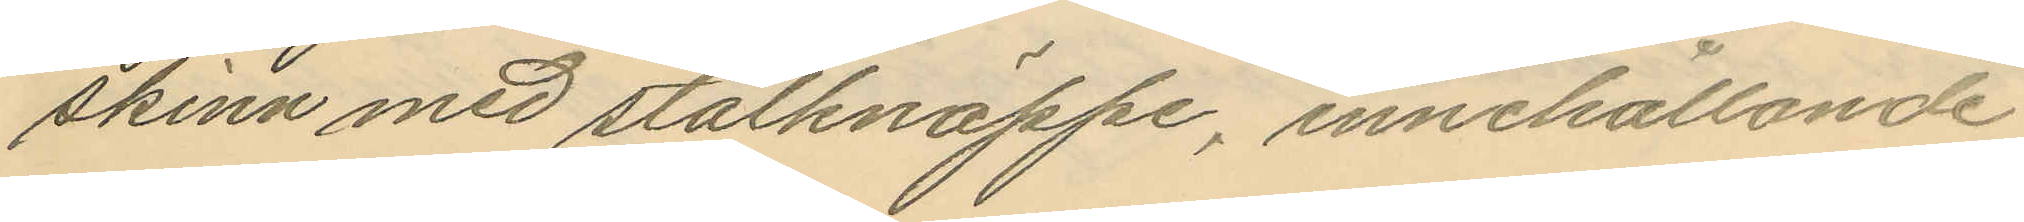skinn med stålknäppe, innehållande
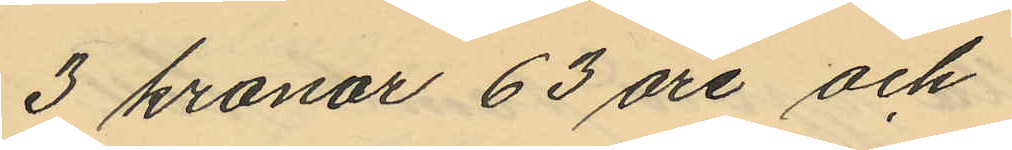3 kronor 63 öre och
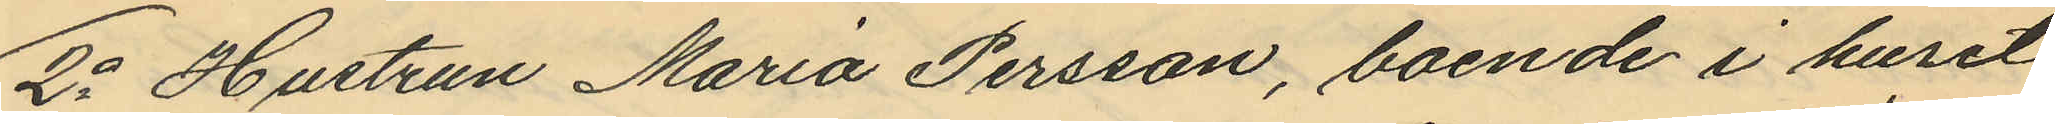2o Hustrun Maria Persson, boende i huset
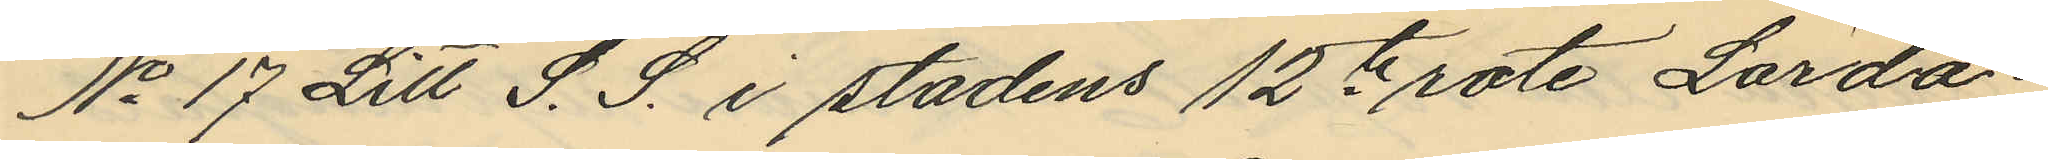No 17 Litt S. S. i stadens 12te rote Lörda¬
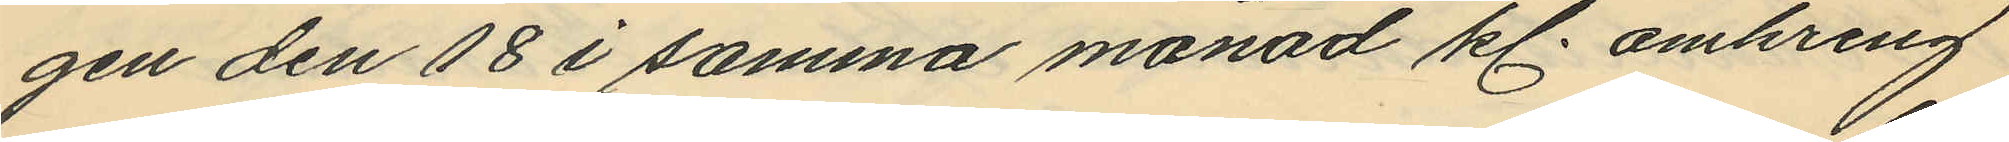gen den 18 i samma månad kl. omkring
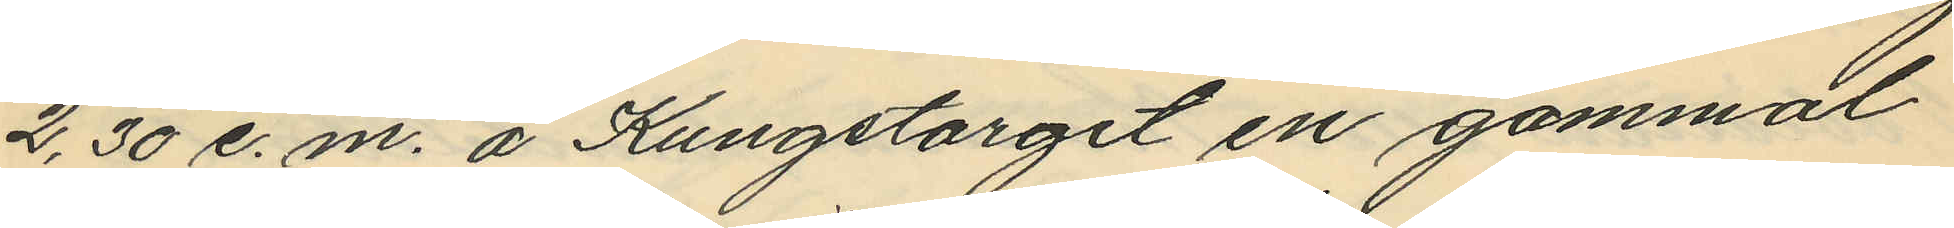2,30 e.m. å Kungstorget en gammal
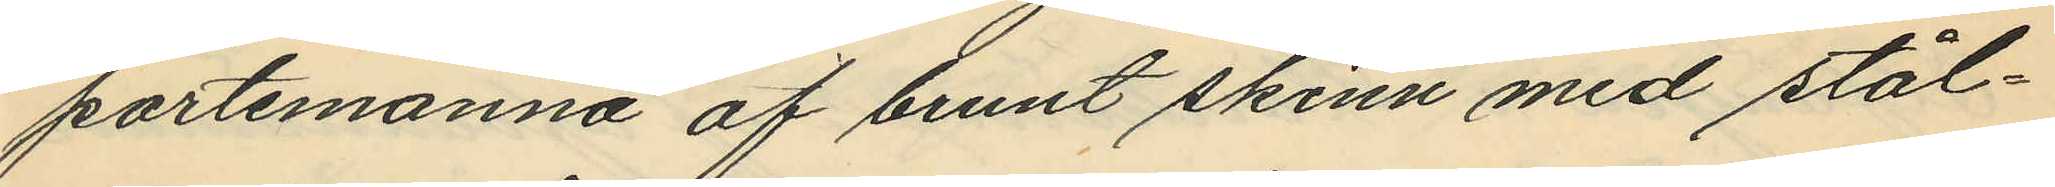portemonnä af brunt skinn med stål¬
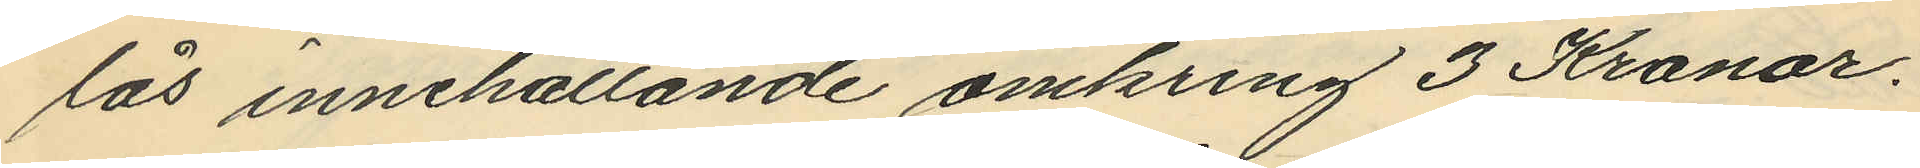lås innehållande omkring 3 Kronor.
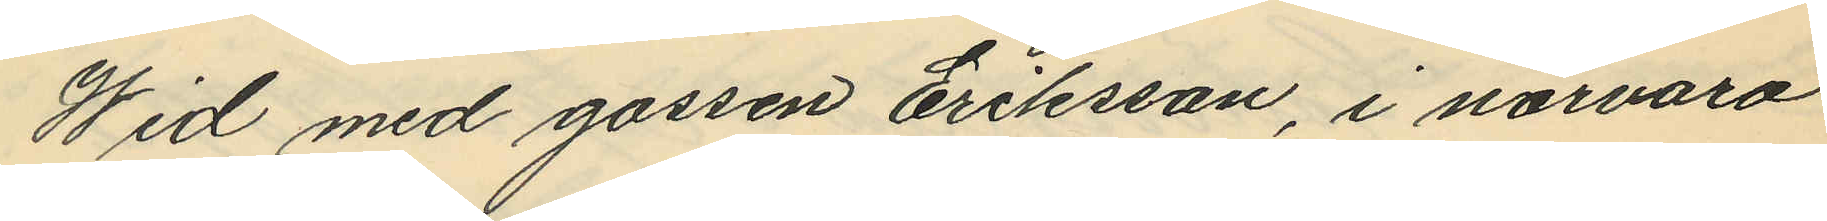Wid med gossen Eriksson, i närvaro
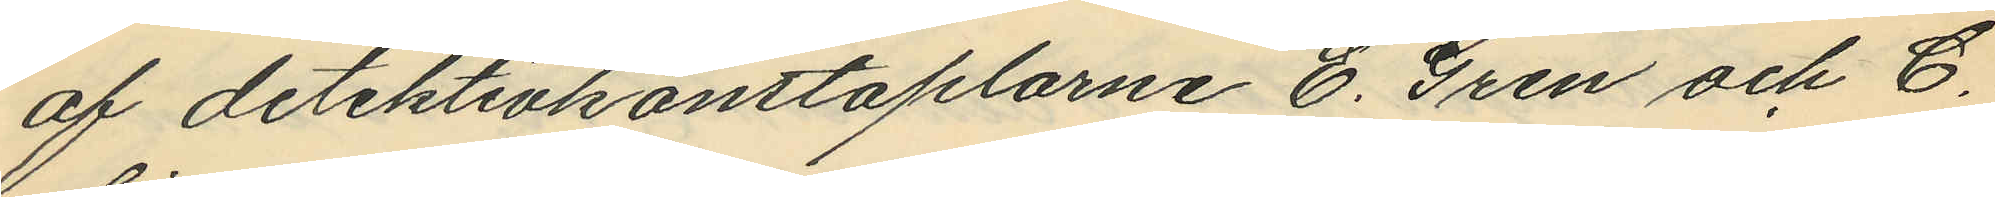af detektivkonstaplarne E. Gren och C.
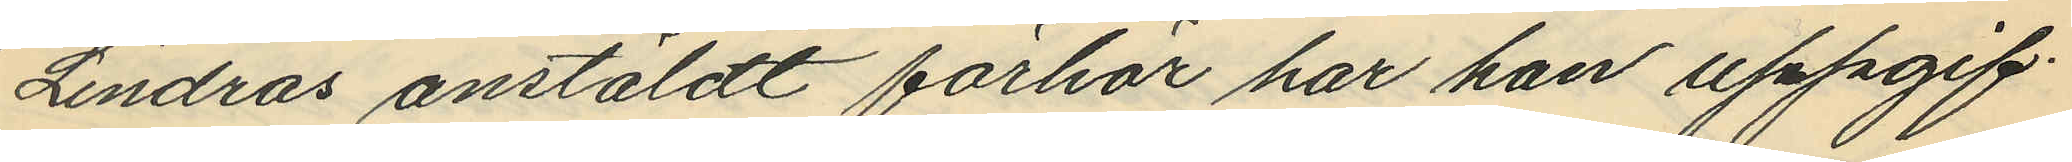Lindros anstäldt förhör har han uppgif¬
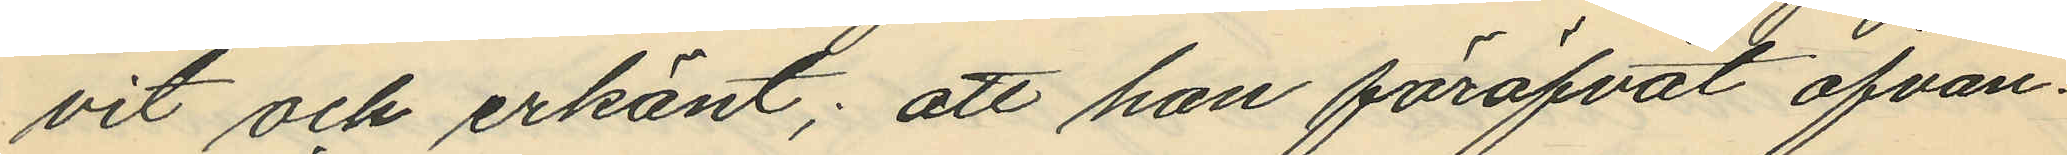vit och erkänt; att han föröfvat ofvan¬
